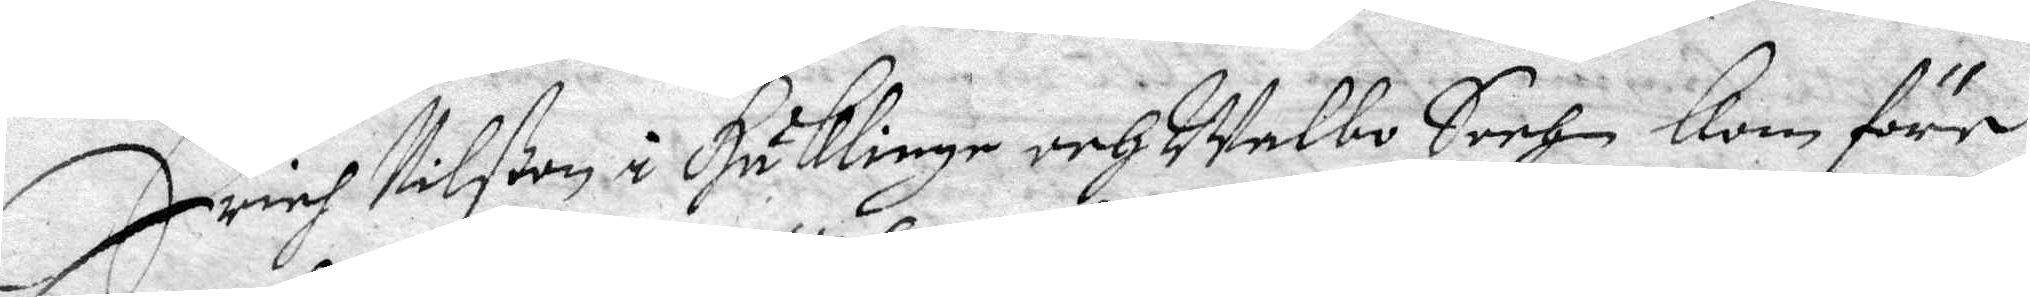Erich Nilßon i Häklinge och Walbo Sochn kom före
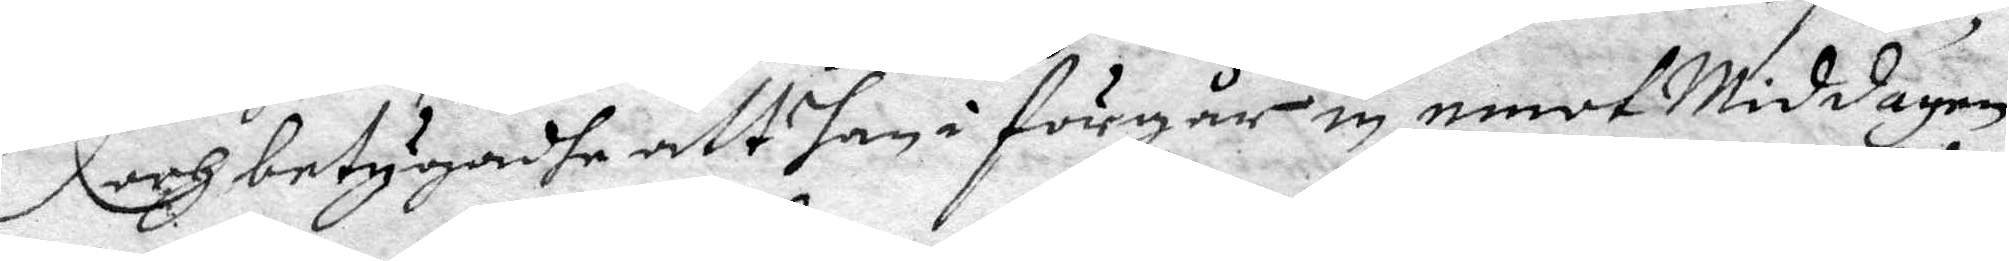och betygadhe att han i förgår in emot Middagen
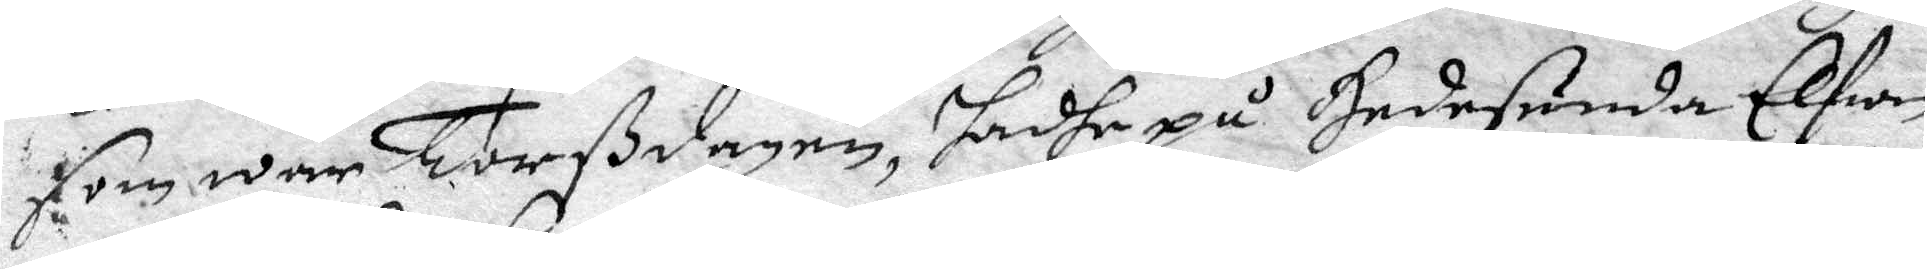som war Torßdagen, hadhe på Hedesunda Elfwen
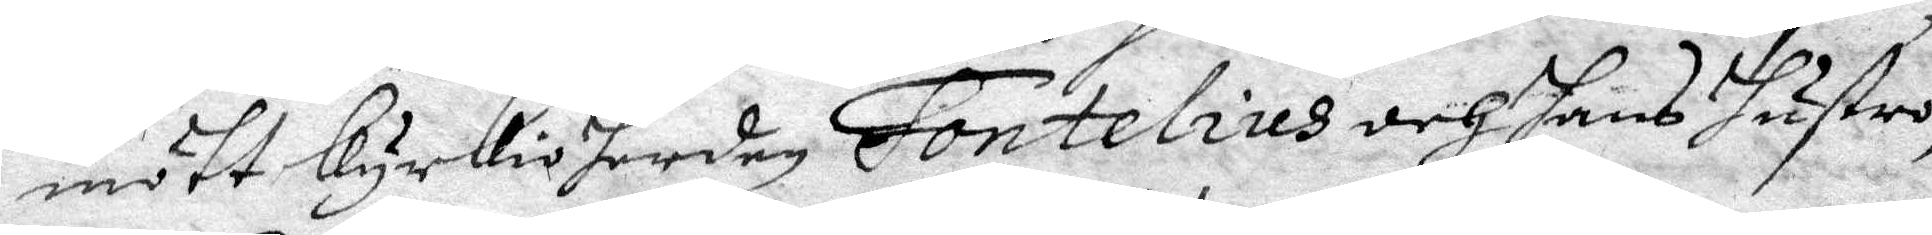mött kyrkioherden Fontelius och hans hustru,
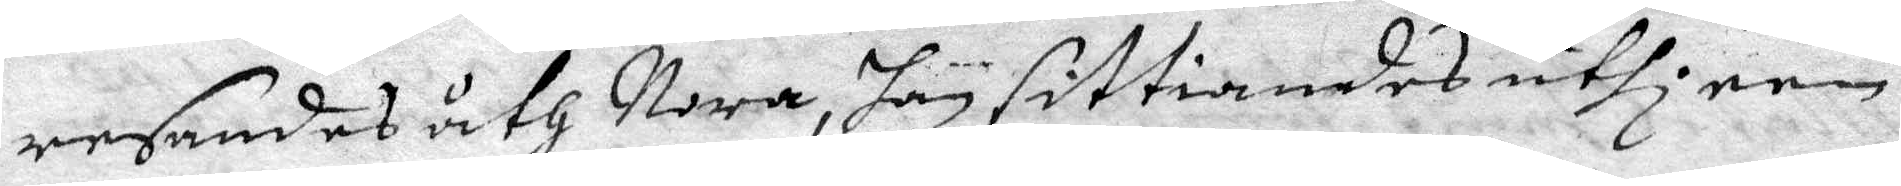resandes åth Nora, han sittiandes uthi een
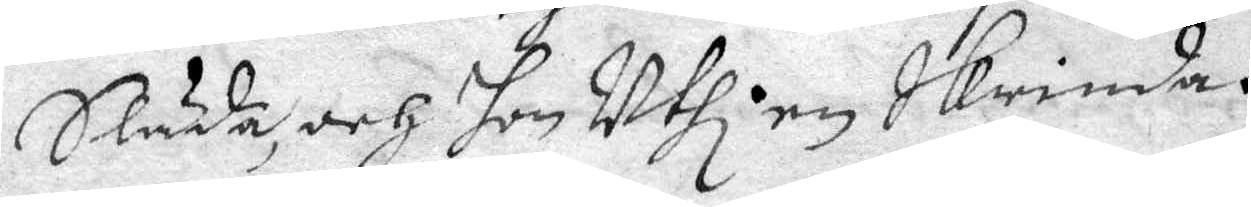Släda och hon uthi en Skrinda.
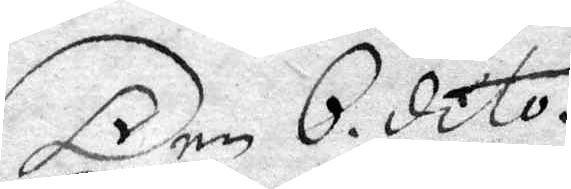Den 6 dito.
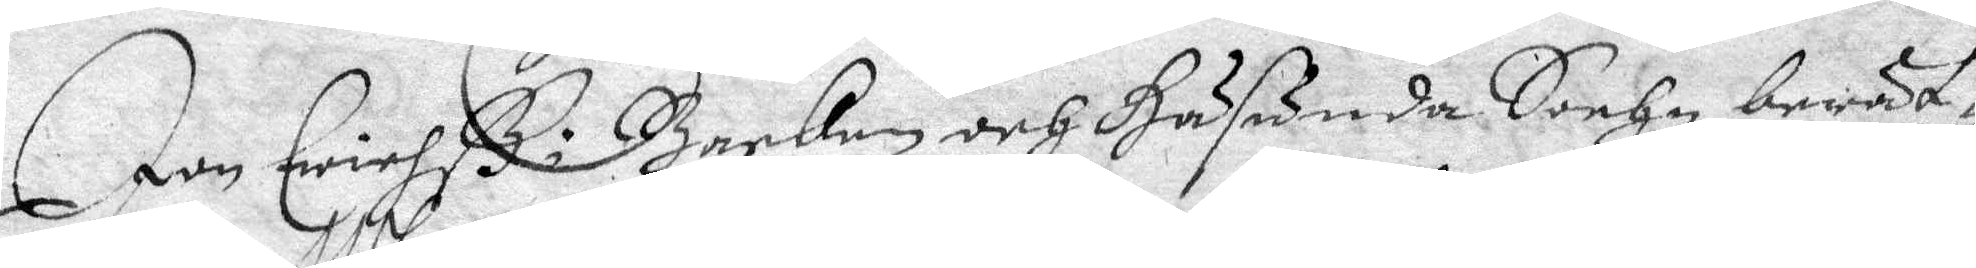Jan Erichß i Backen och Häsunda Sochn berät¬
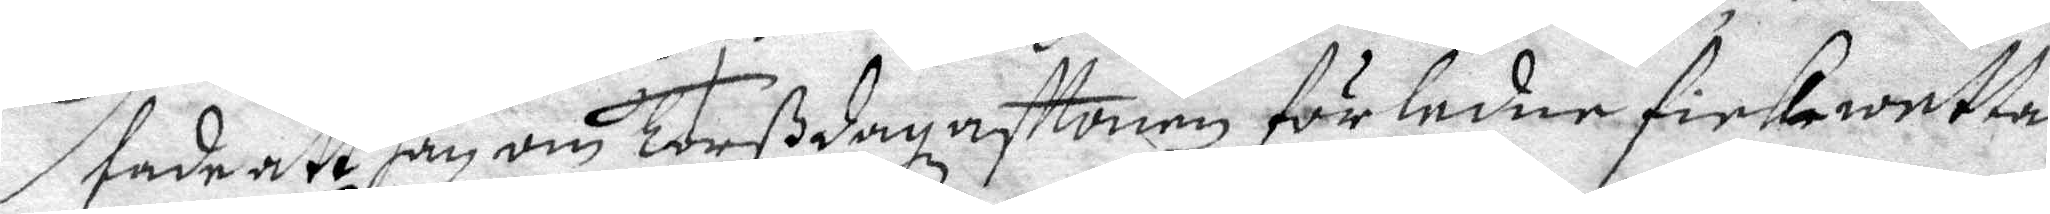tade att han om Torßdag afttonen förledne fick wetta
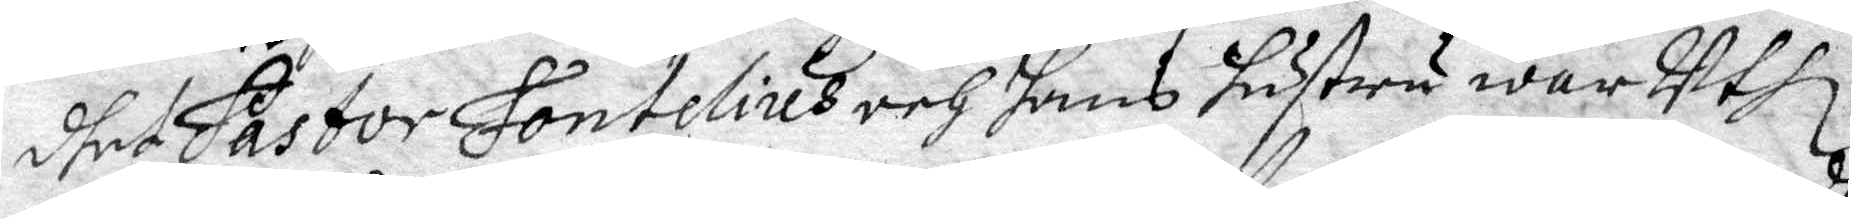dhet Pastor Fontelius och hans hustru war Uthi
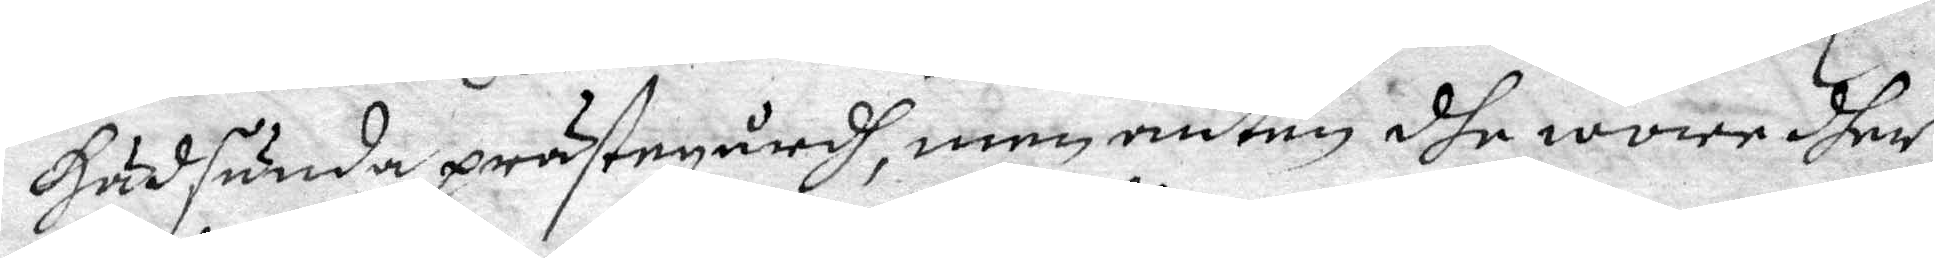Hädsunda prästegårdh, men anten dhe wore dher
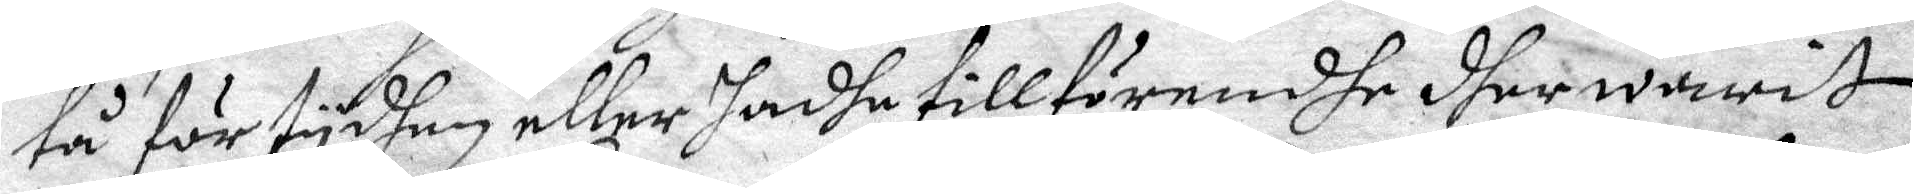tå för tydhen eller hadhe tillförendhe dher warit
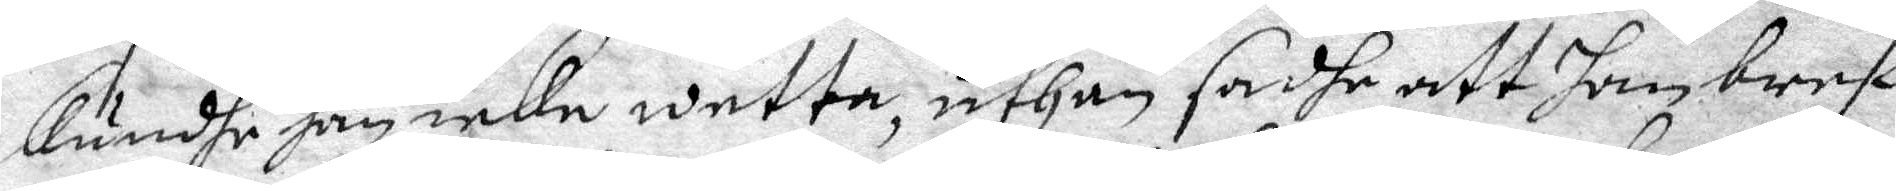kundhe han icke wetta, uthan sadhe att han bref
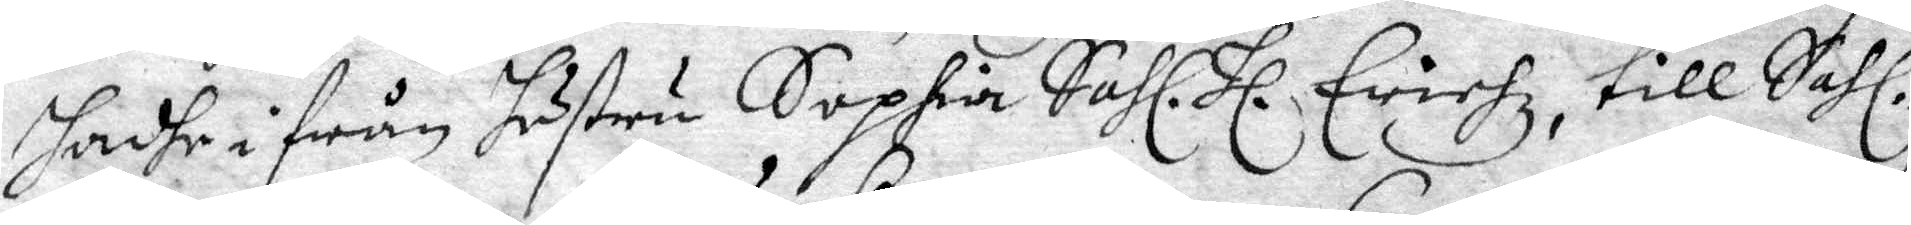hadhe i från hustru Sophia Sahl. Hl. Erichz, till Sahl.
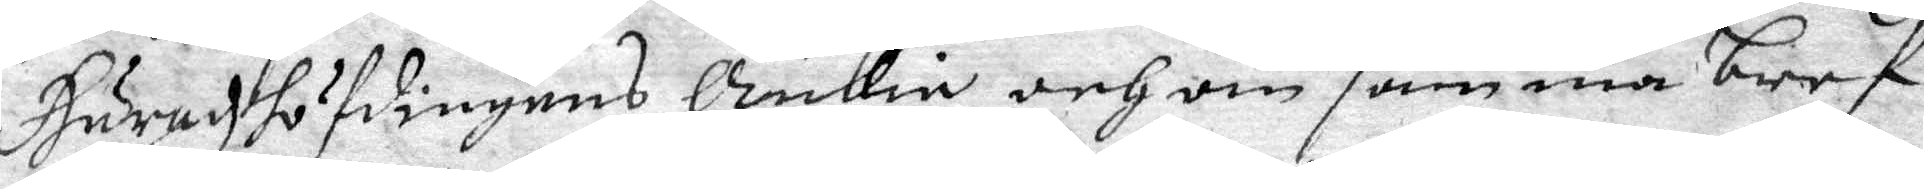Häradzhöfdingens Änkia, och om samma bref
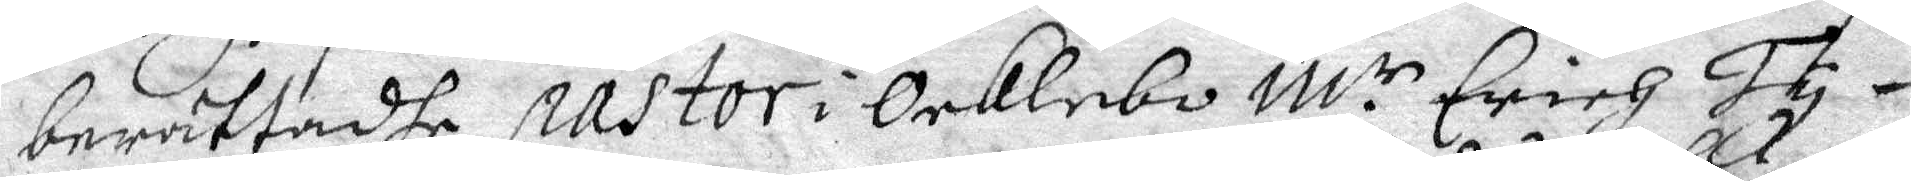berättadhe pastor i Ocklebo M.r Erich Ty¬
